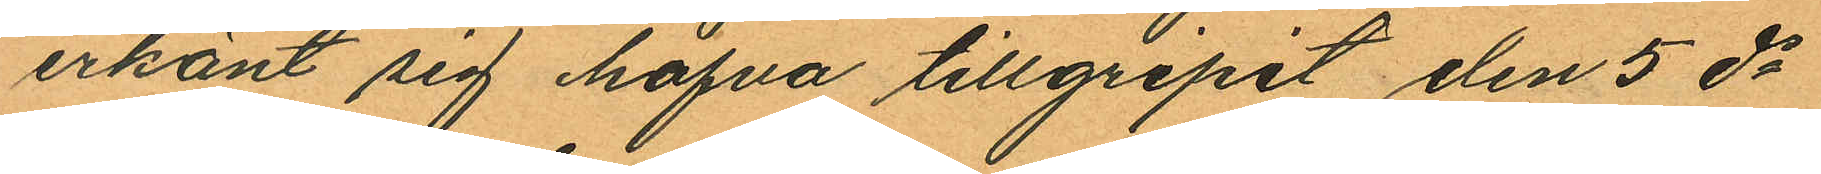erkänt sig hafva tillgripit den 5 ds
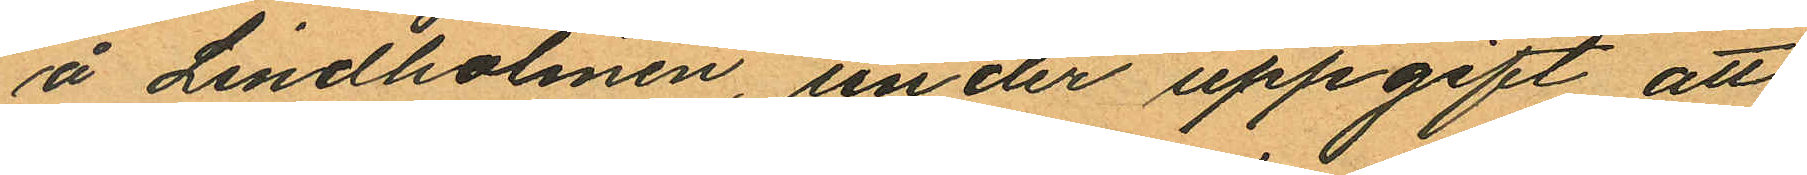å Lindholmen, under uppgift att
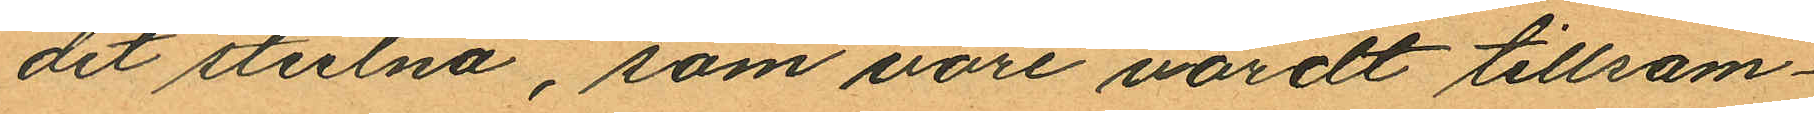det stulna, som vore värdt tillsam¬
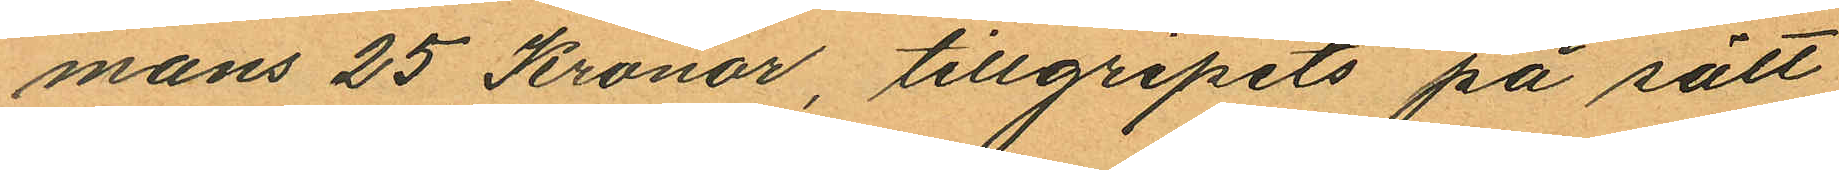mans 25 Kronor, tillgripits på sätt
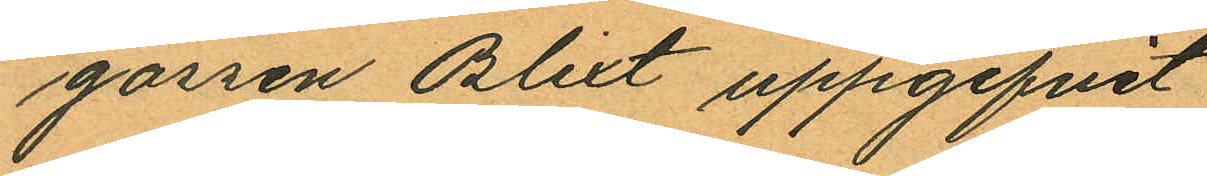gossen Blixt uppgifvit
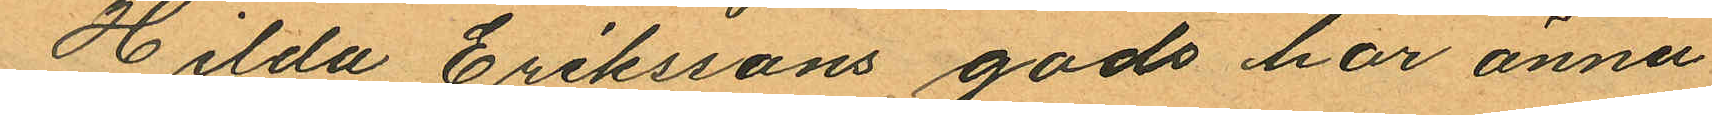Hilda Erikssons gods har ännu
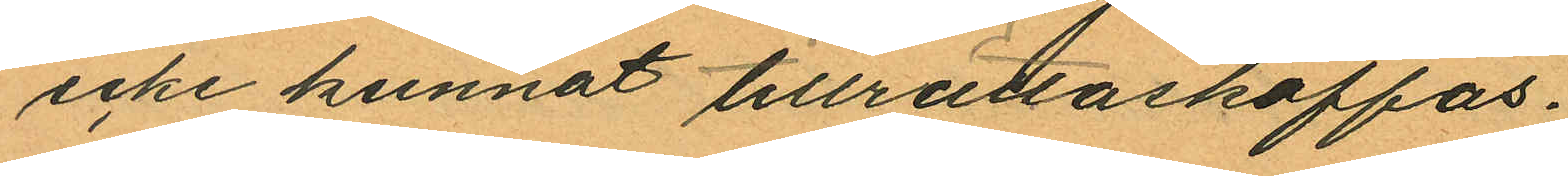icke kunnat tillrättaskaffas.
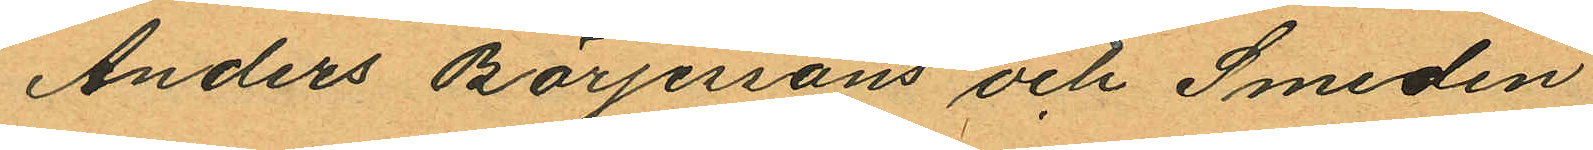Anders Börjessons och Smeden
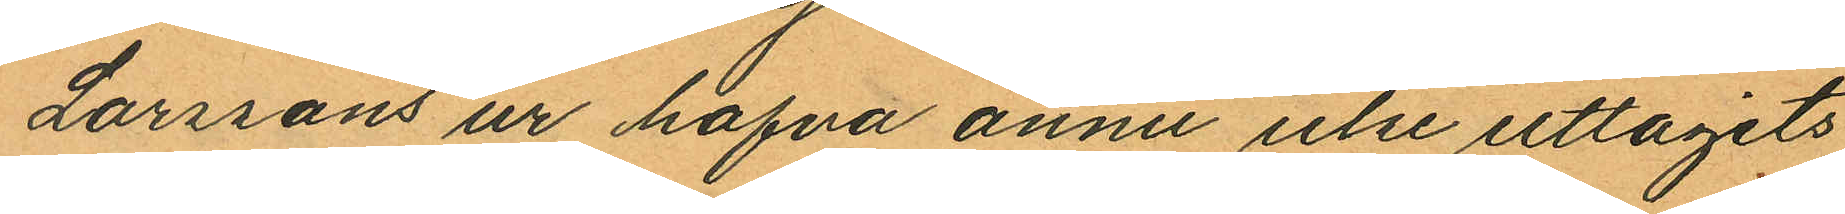Larssons ur hafva ännu icke uttagits
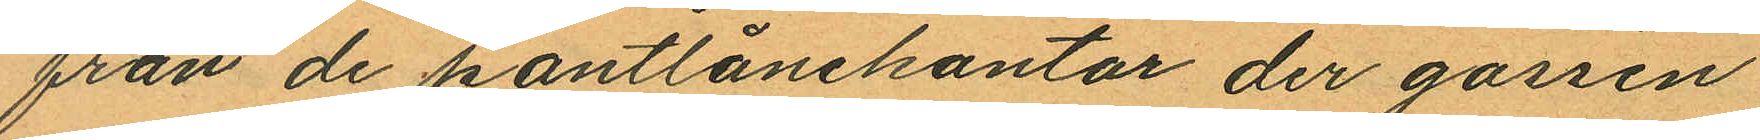från de pantlånekontor der gossen
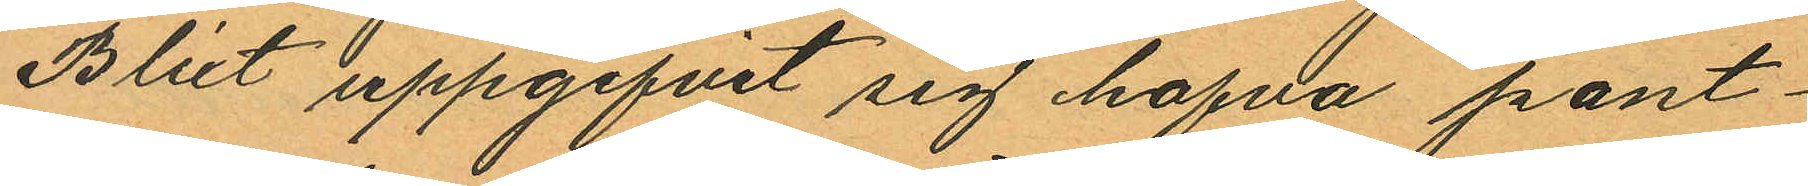Blixt uppgifvit sig hafva pant¬
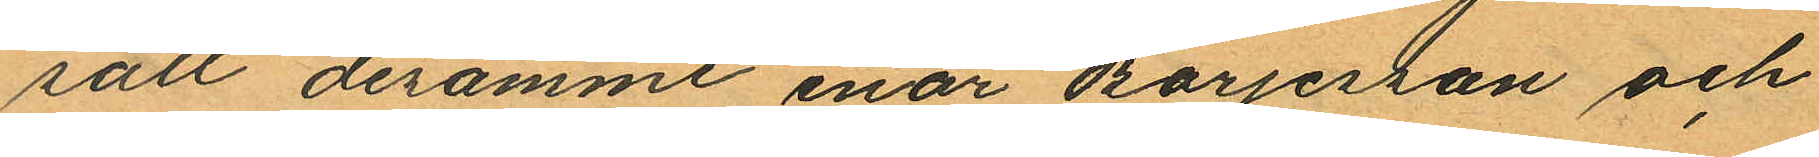satt desamme enär Börjesson och
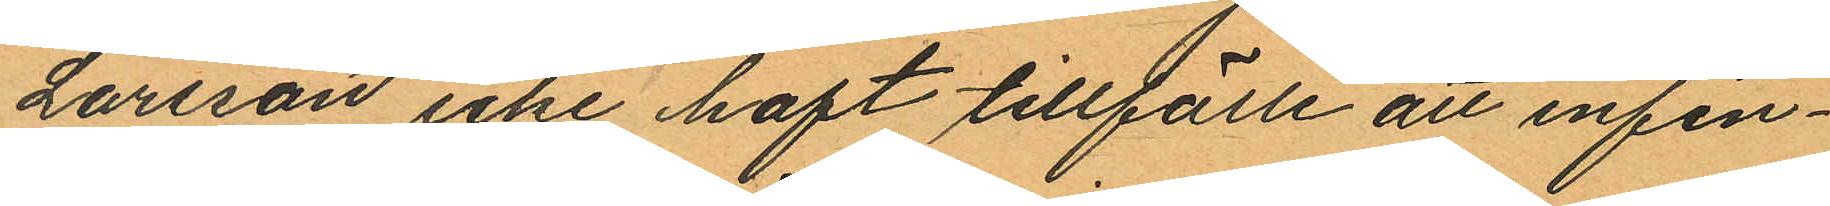Larsson icke haft tillfälle att infin¬
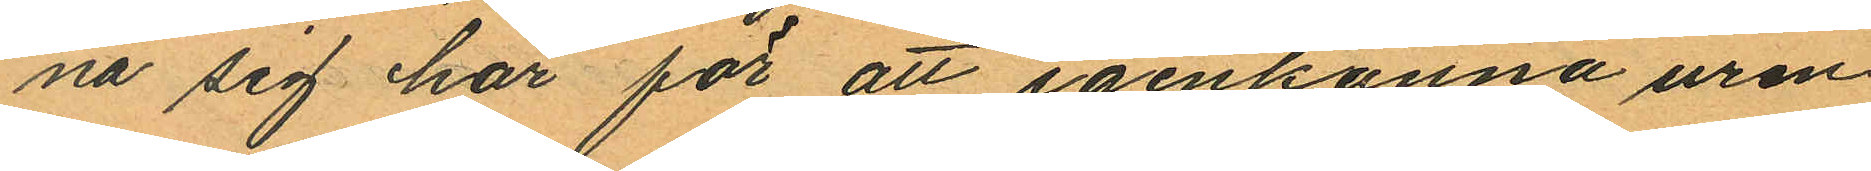na sig har för att igenkänna uren.
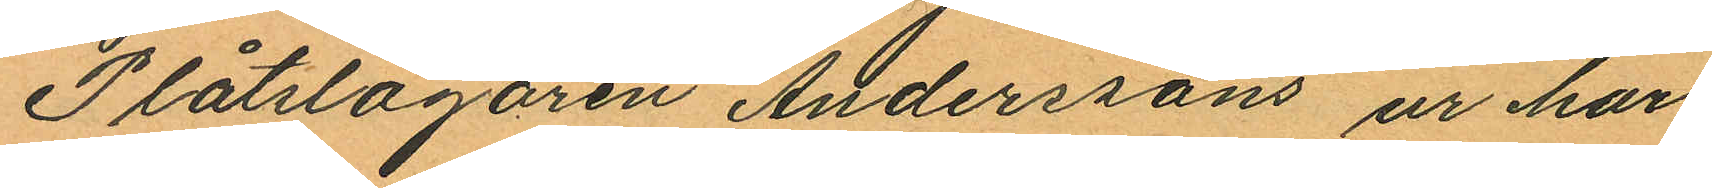Plåtslagaren Anderssons ur har
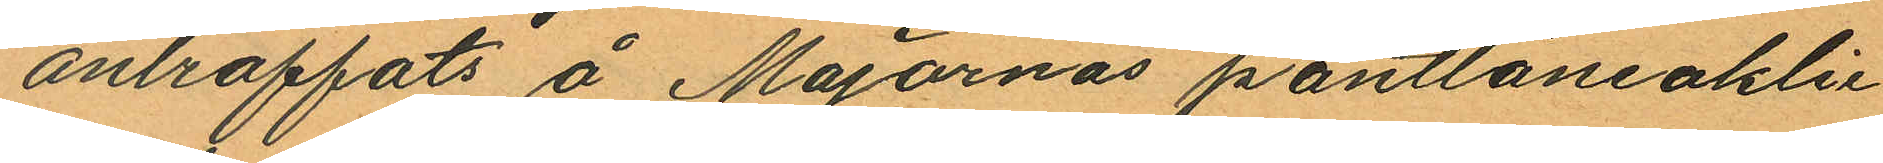antraffats å Majornas pantlåneaklie
